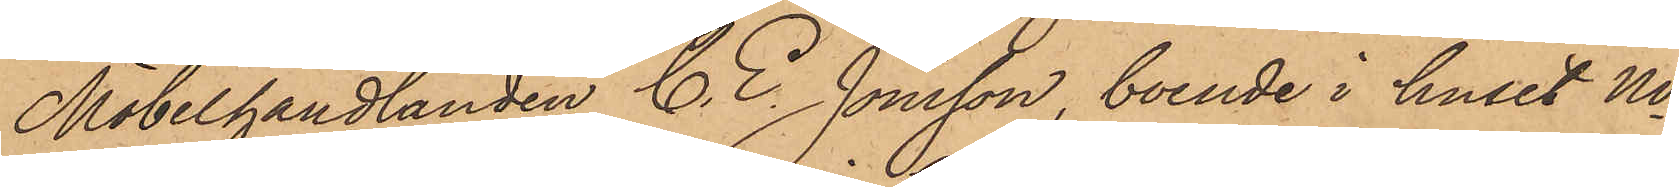Möbelhandlanden C. E. Jönsson, boende i huset No
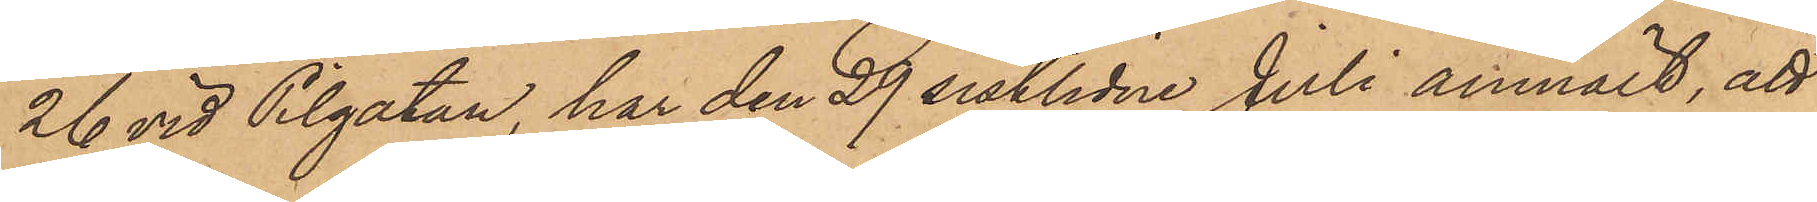26 vid Pilgatan, har den 29 sistlidne Juli anmält, att
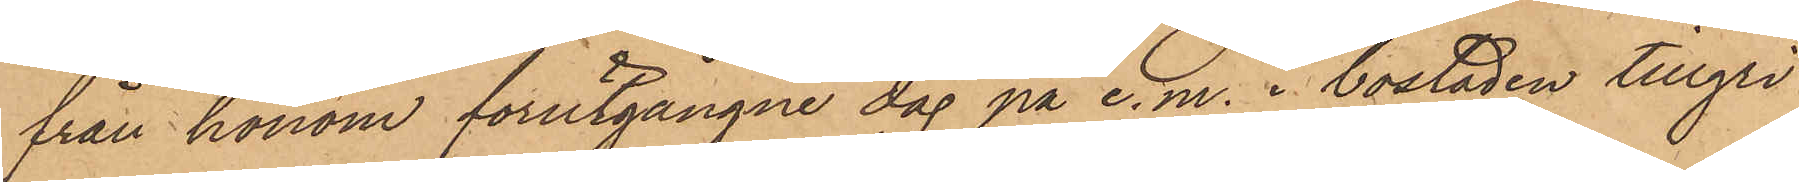från honom förutgångne dag på e.m. i bostaden tillgri¬
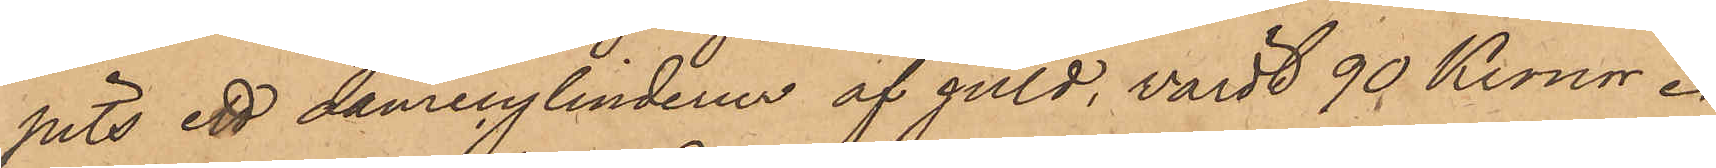pits ett damecylinderur af guld, värdt 90 Kronor.
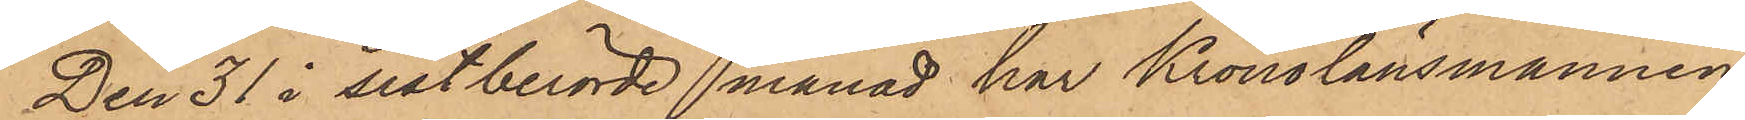Den 31 i sistberörde månad har Kronolänsmannen
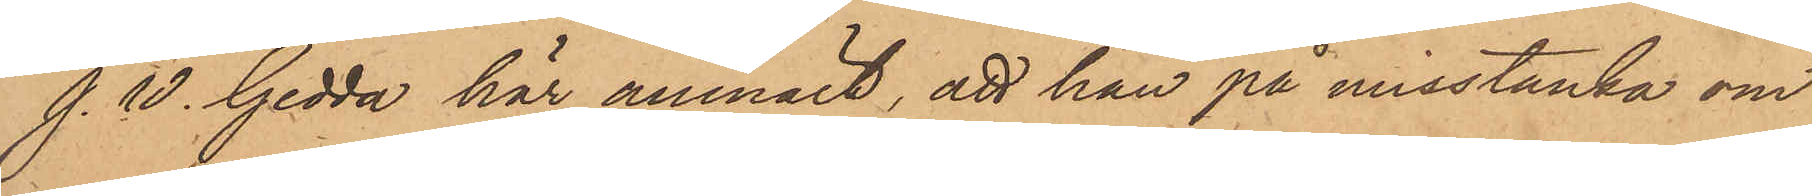J. W. Gedda här anmält, att han på misstanke om
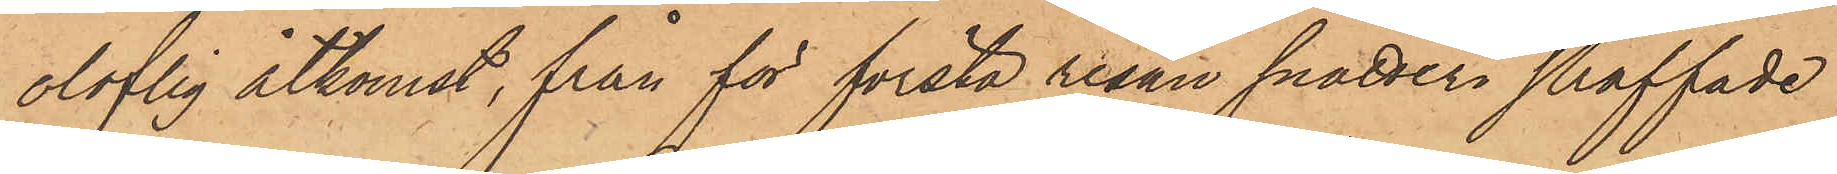oloflig åtkomst, från för första resan snatteri straffade
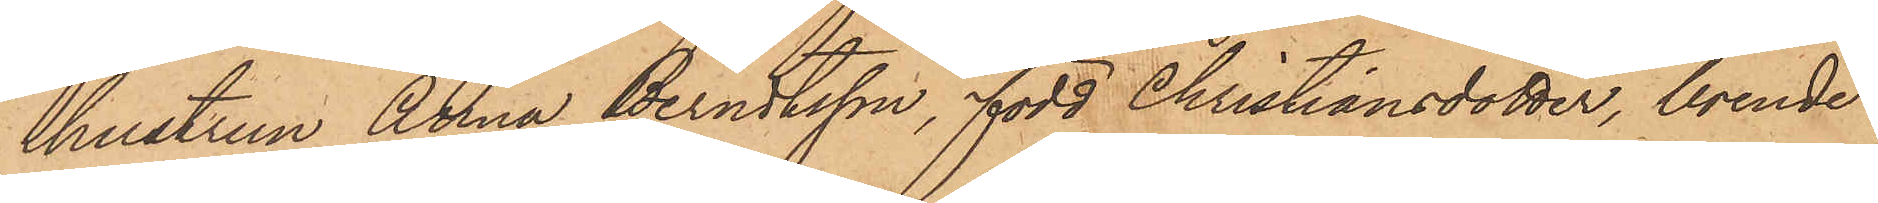hustrun Anna Berndtsson, född Christiansdotter, boende
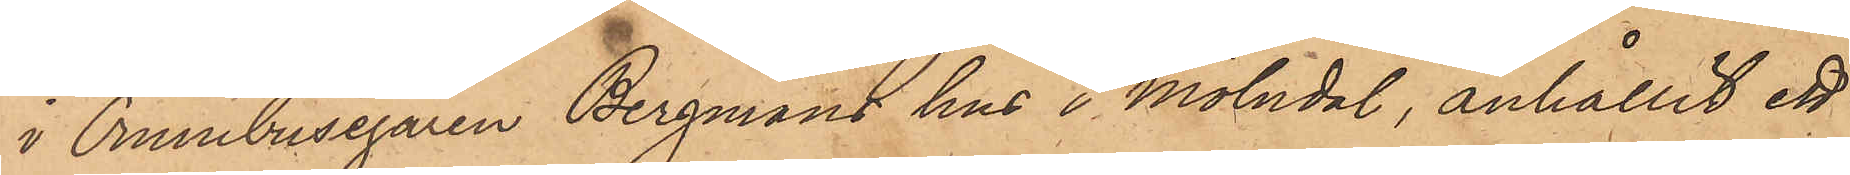i Omnibusegaren Bergmans hus i Mölndal, anhållit ett
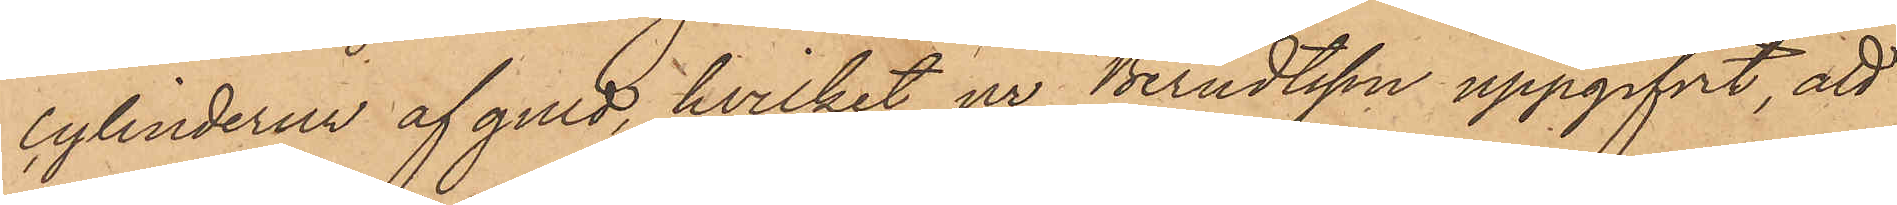cylinderur af guld, hvilket ur Berndtsson uppgifvit, att
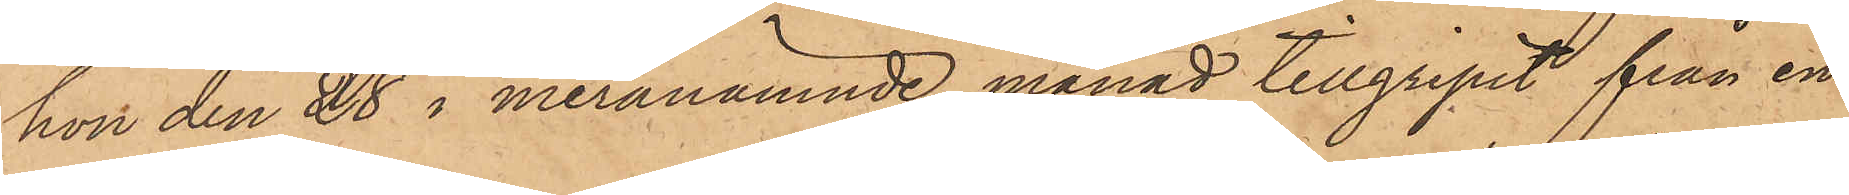hon den 28 i meranämnde månad tillgripit från en
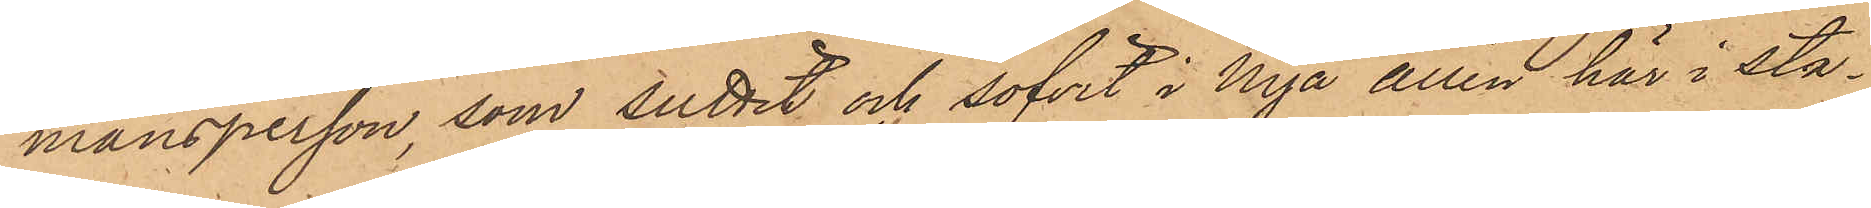mansperson, som suttit och sofvit i Nya allén här i sta¬
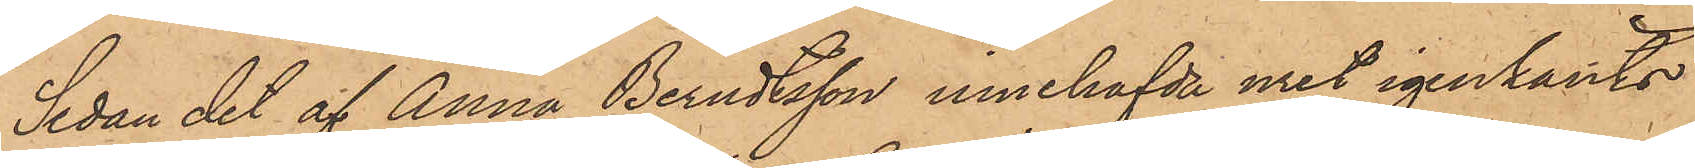Sedan det af Anna Berndtsson innehafvde uret igenkänts
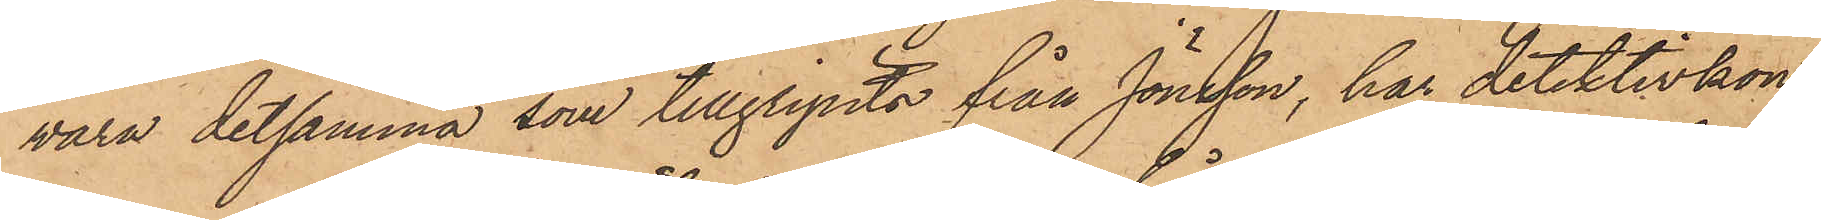vara detsamma, som tillgripits från Jönsson, har detektivkon¬
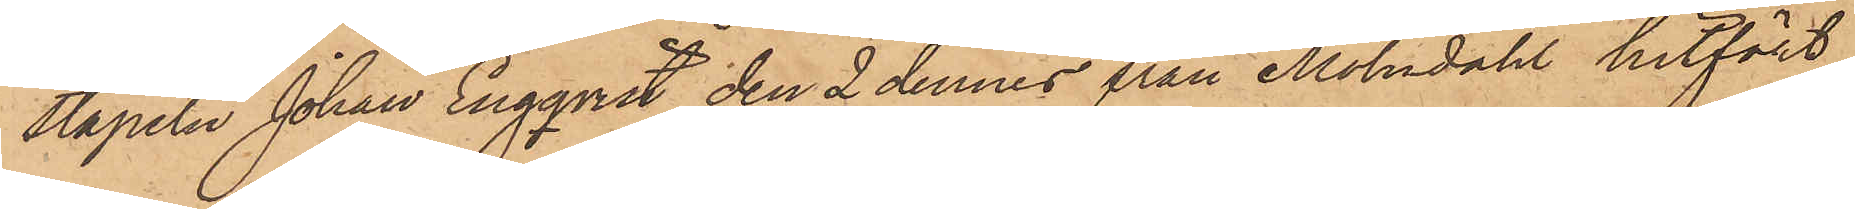stapeln Johan Engqvist den 2 dennes från Mölndahl hitfört
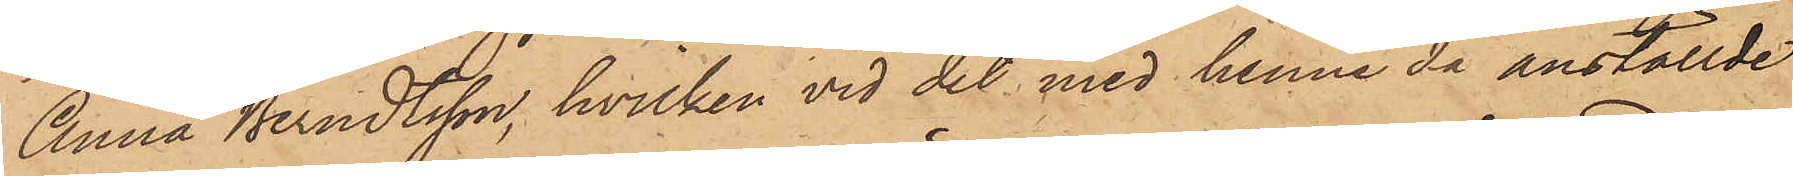Anna Berndtsson, hvilken vid det med henne då anställde
